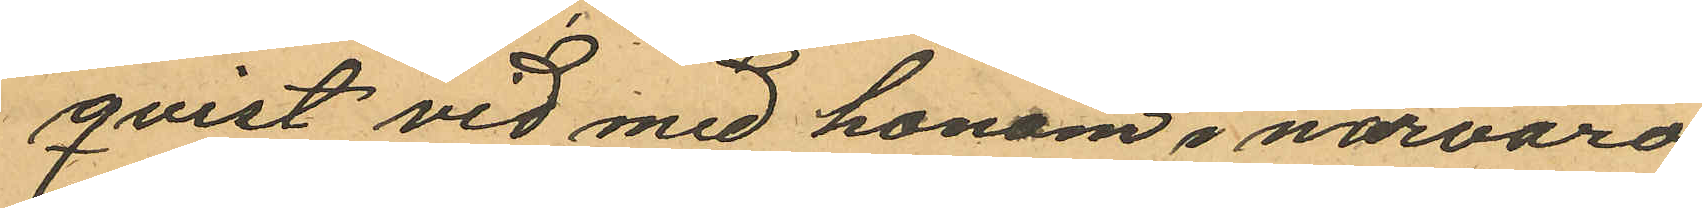qvist vid med honom i närvaro
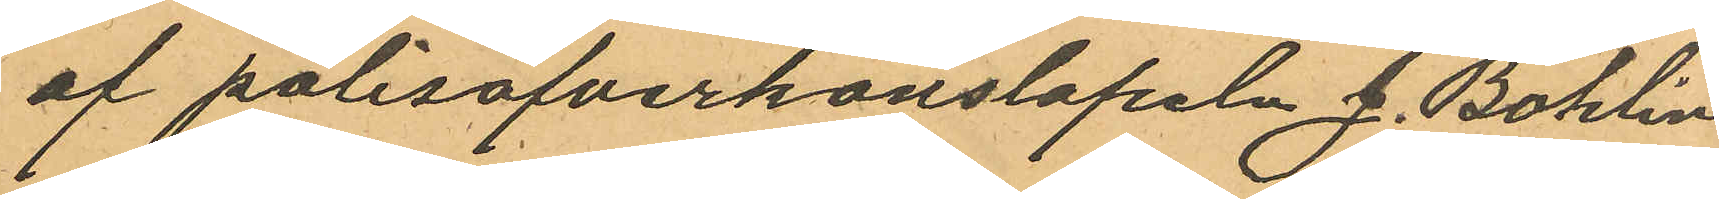af polisöfverkonstapeln J. Bohlin
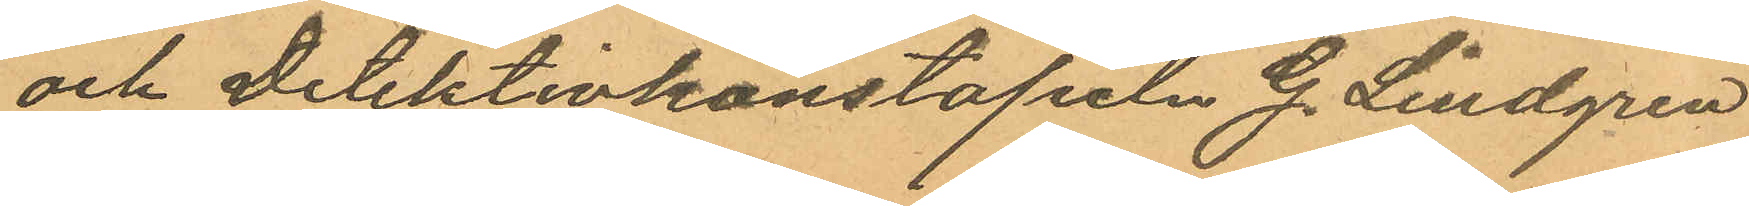och detektivkonstapeln G. Lindgren
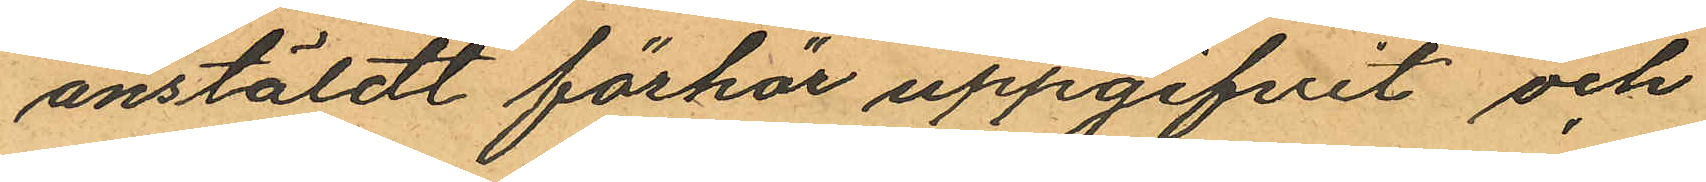anstäldt förhör uppgifvit och
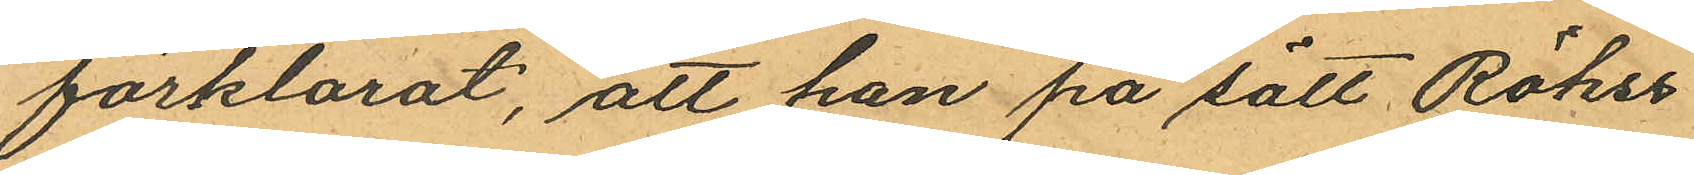förklarat, att han på sätt Röhss
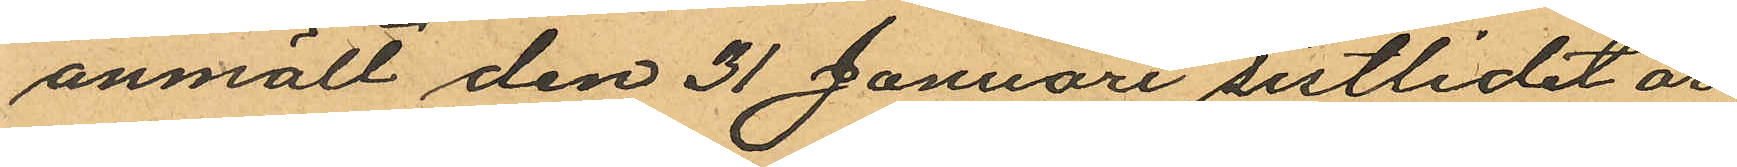anmält den 31 Januari sistlidet år
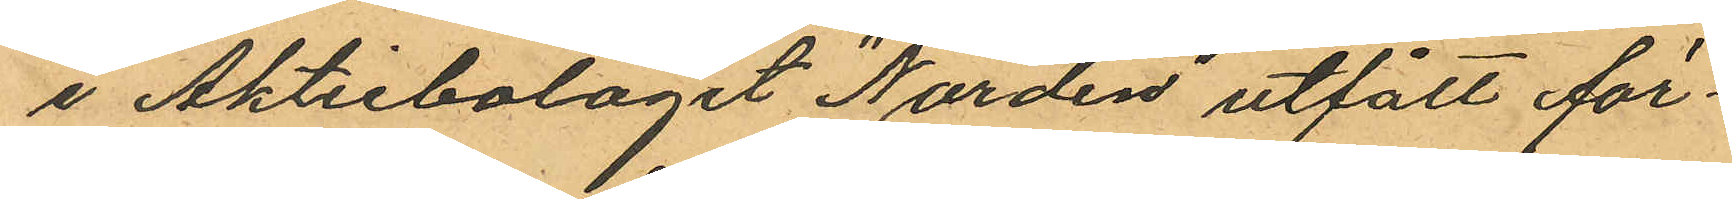i Aktiebolaget "Norden" utfått för¬
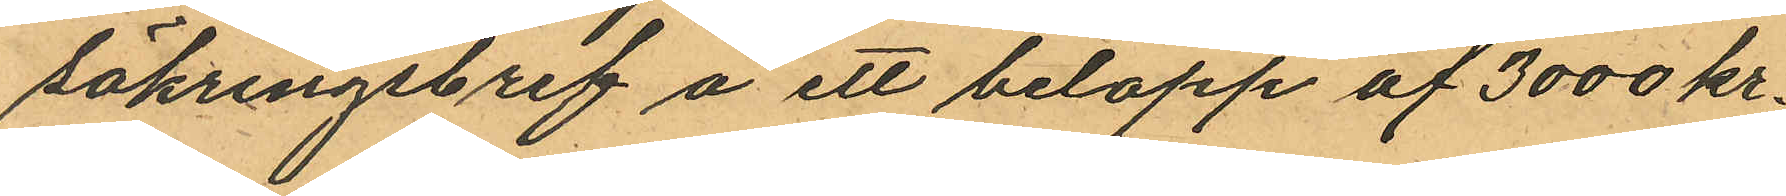säkringsbref å ett belopp af 3000 kr.
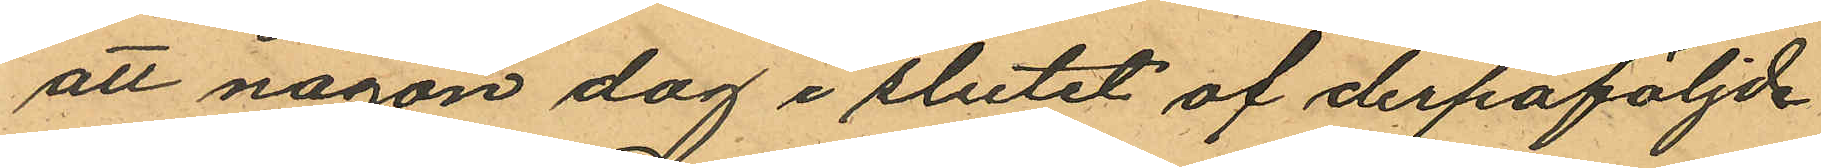att någon dag i slutet af derpåföljde
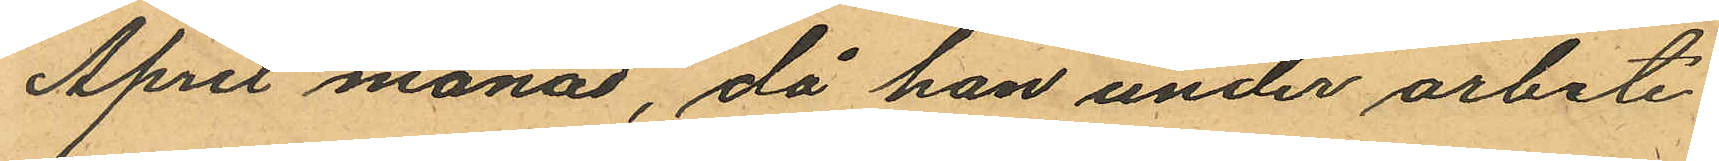April månad, då han under arbete
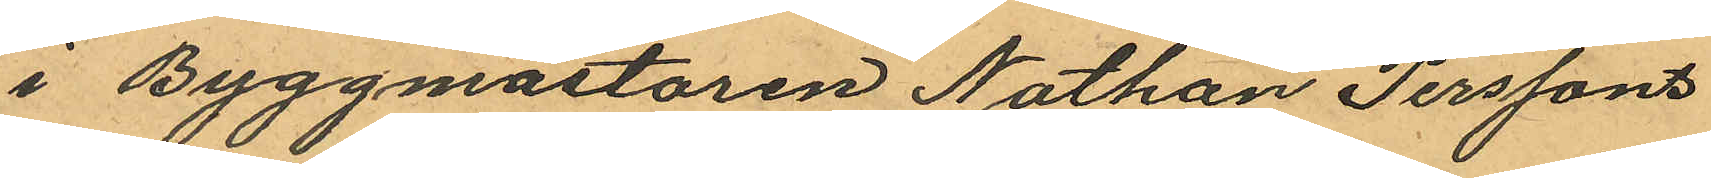i Byggmästaren Nathan Perssons
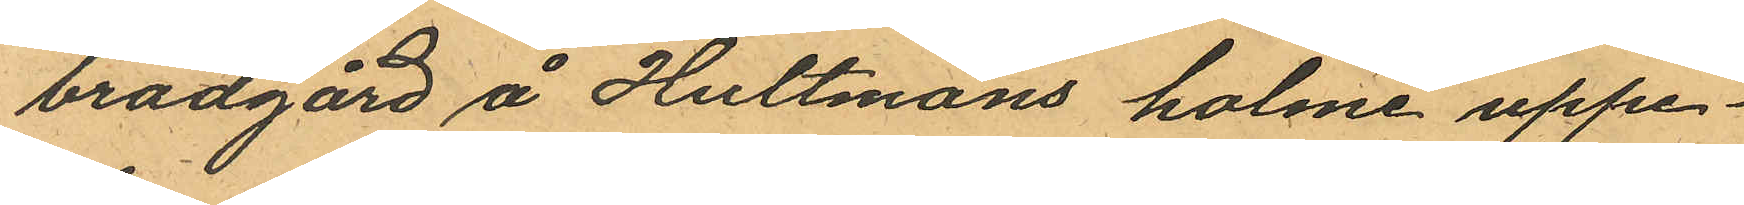brädgård å Hultmans holme uppe¬
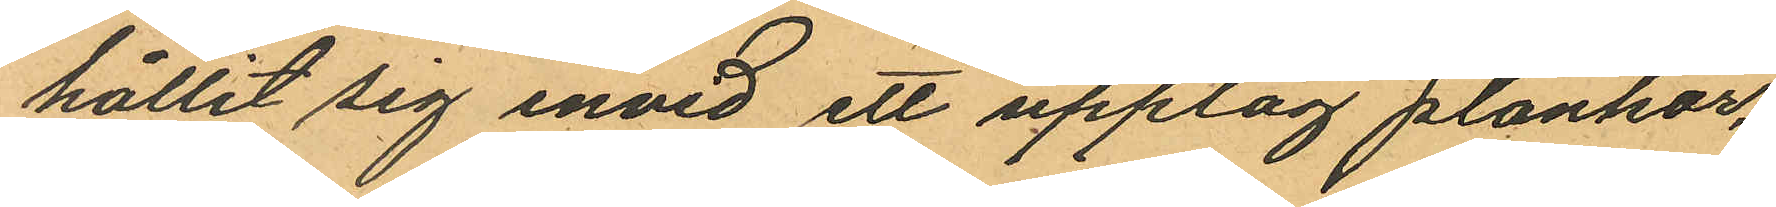hållit sig invid ett upplag plankor,
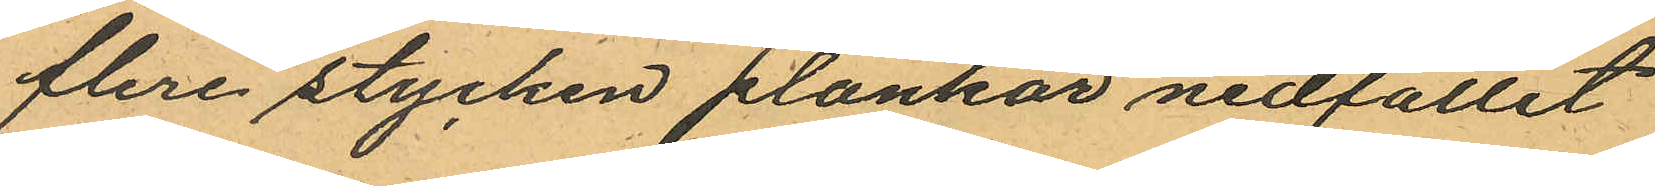flere stycken plankor nedfallit
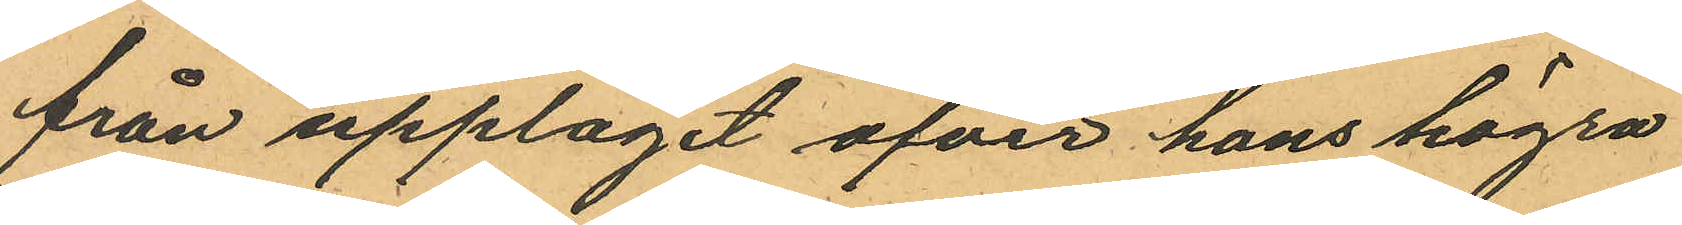från upplaget öfver hans högra
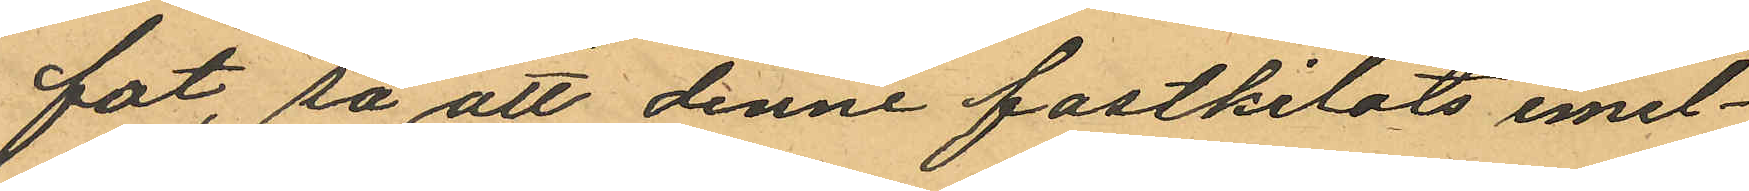fot, så att denne fastkilats emel¬
